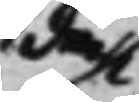dock
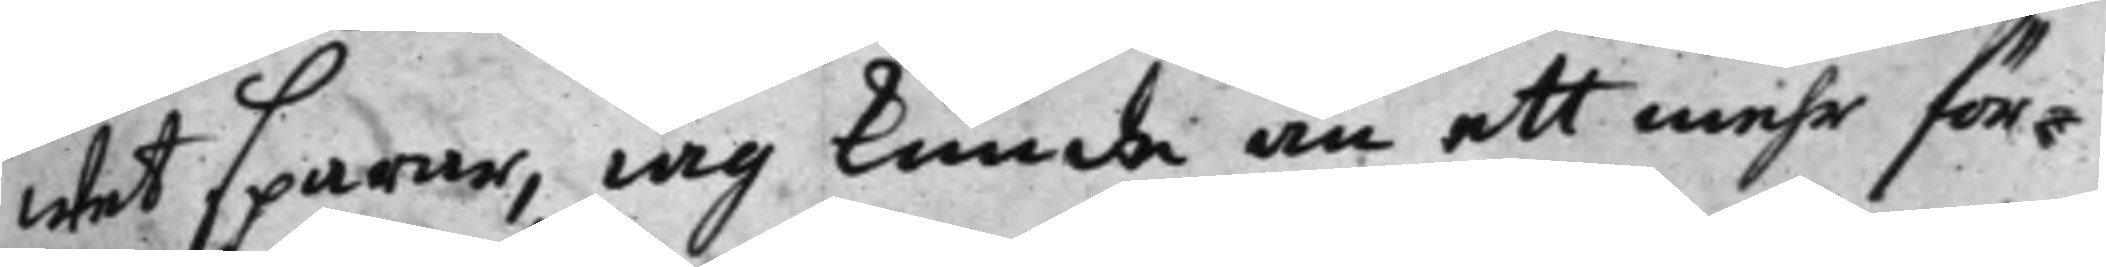wet sparar, iag kunde än att mehr för¬
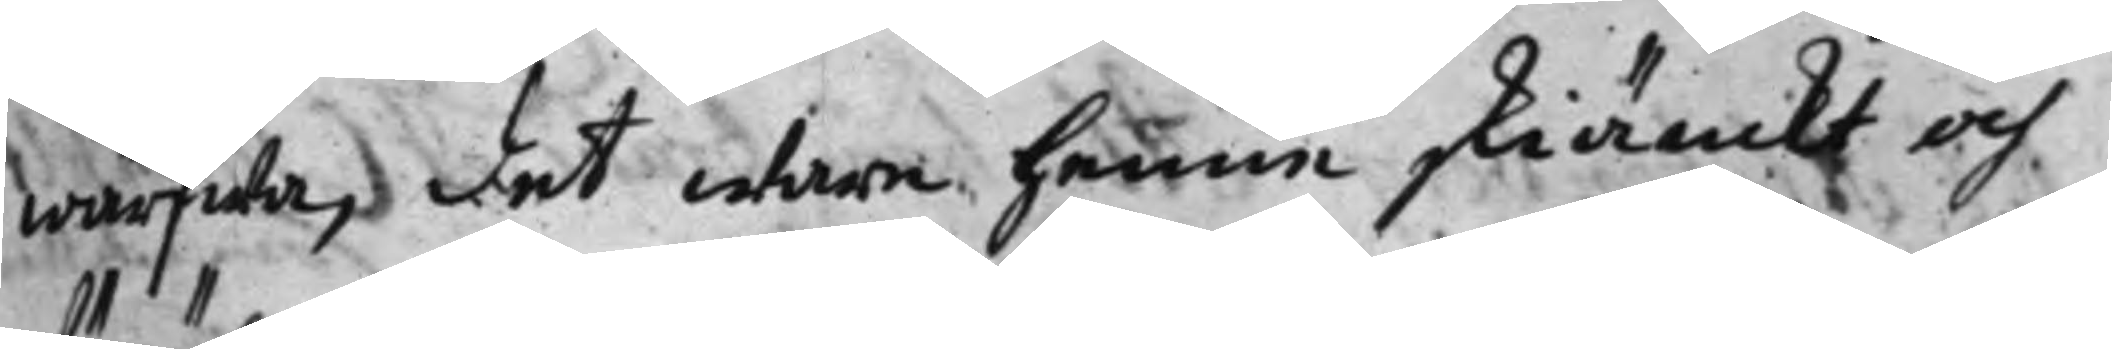wärfwa, det ware henne skiänckt och
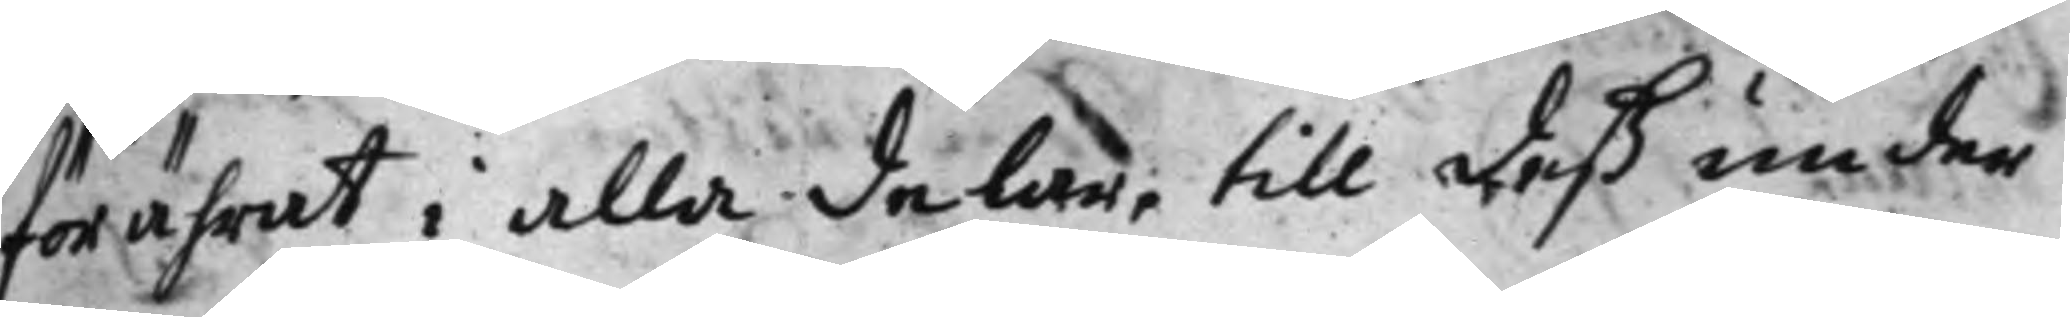förährat i alla delar, till deß under¬
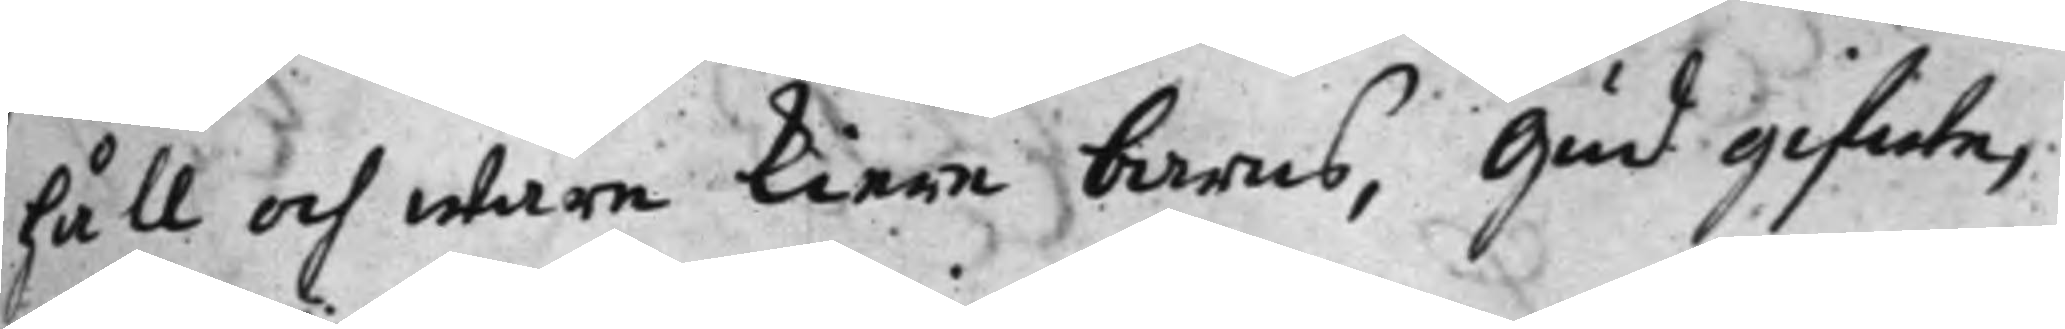håll och wåre kiere barns, Gud gifwe,
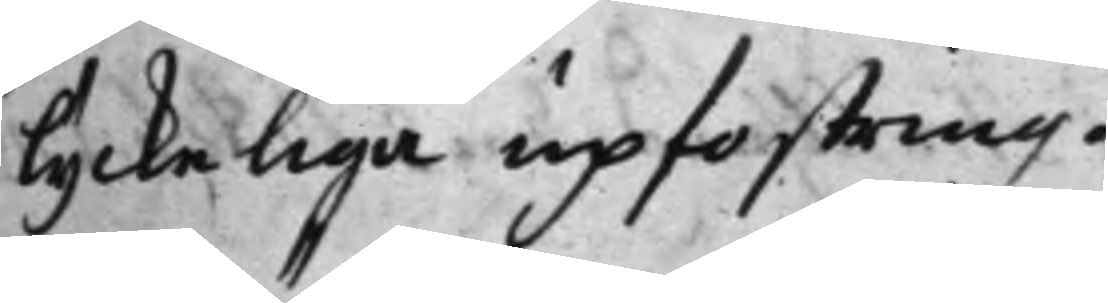lyckeliga upfostring.
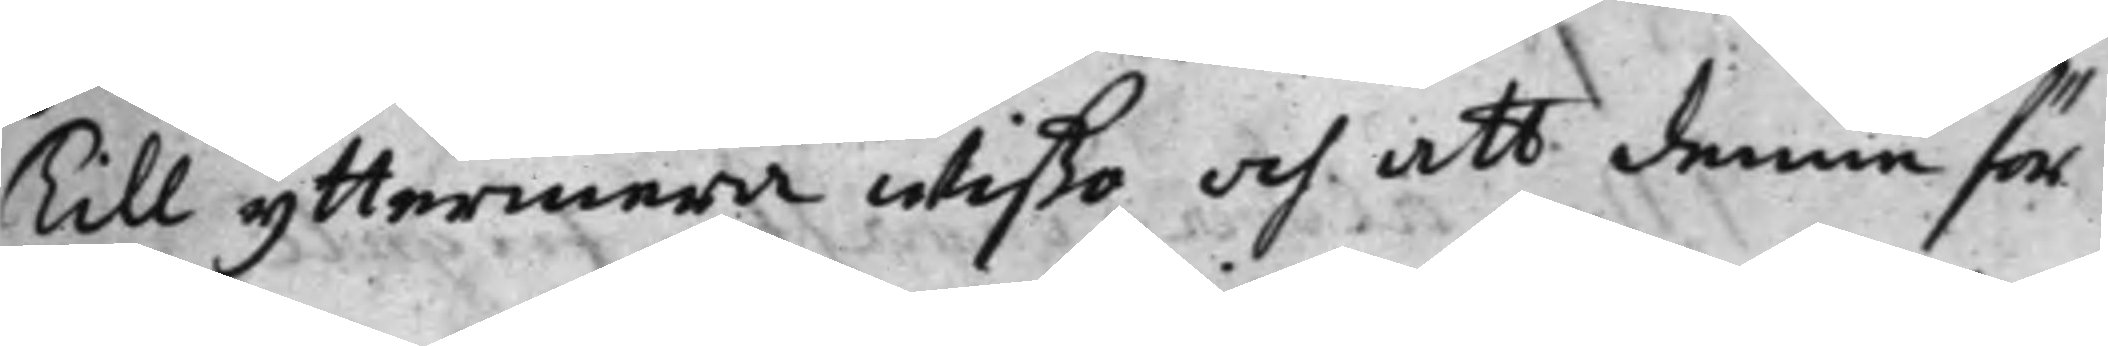Till yttermera wißo och att denna för¬
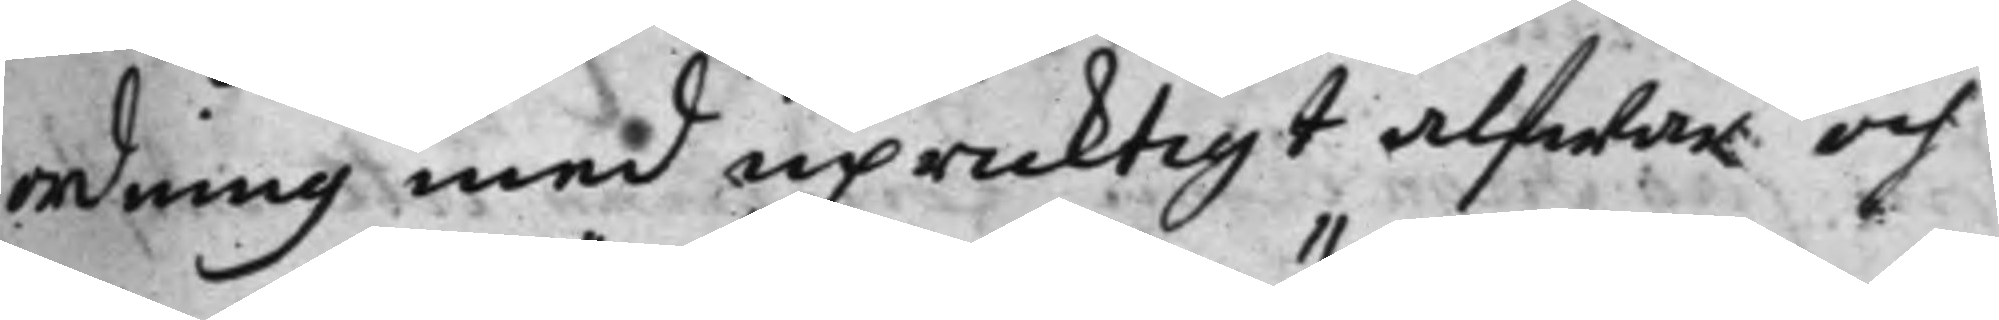ordning med upricktigt alfwar och
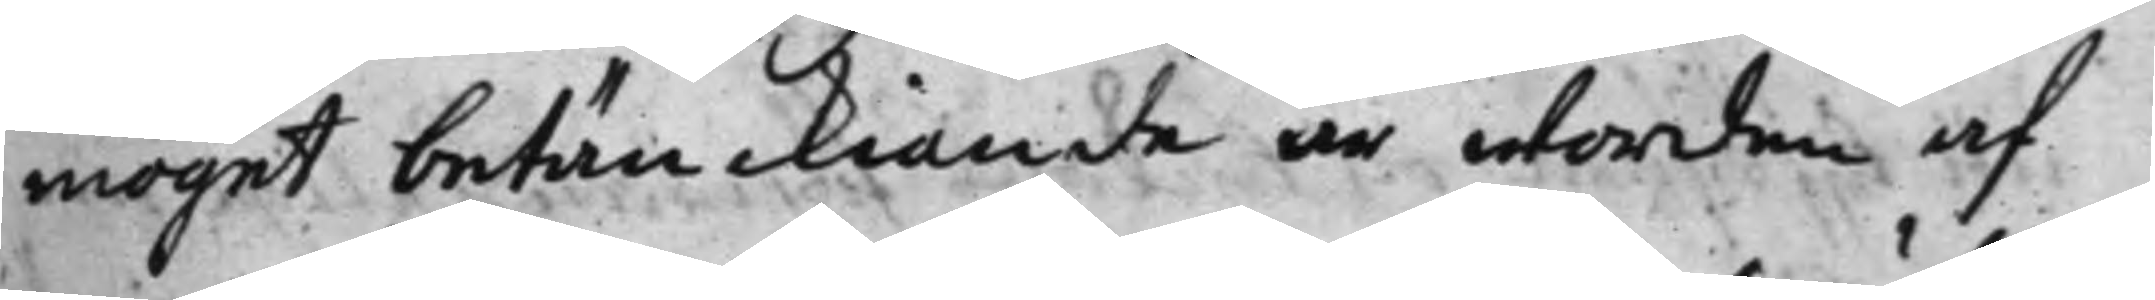moget betänckiande är worden af
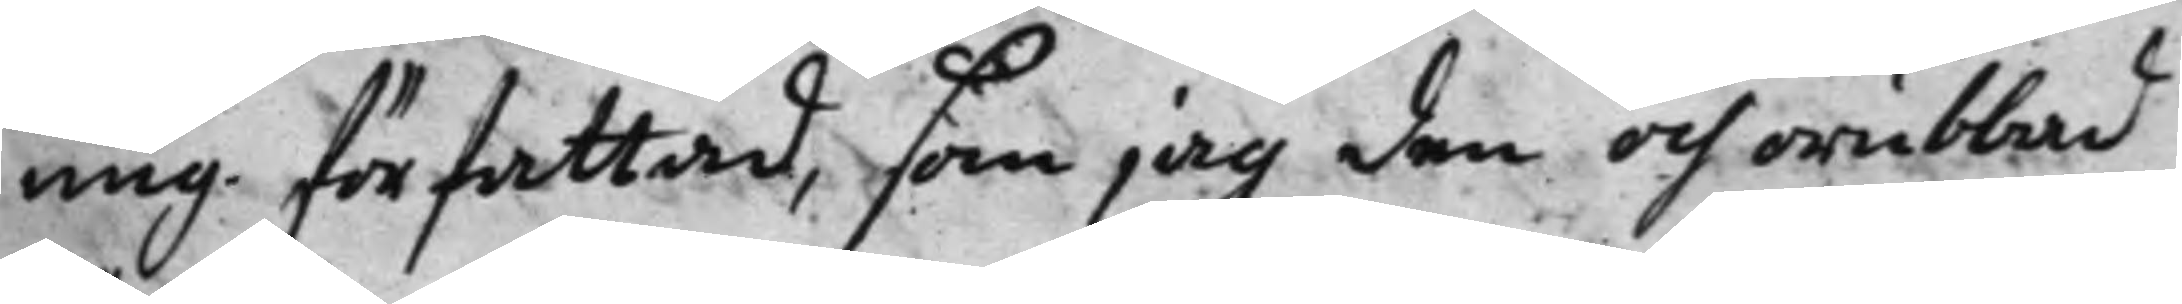mig författad, som jag den och orubbad
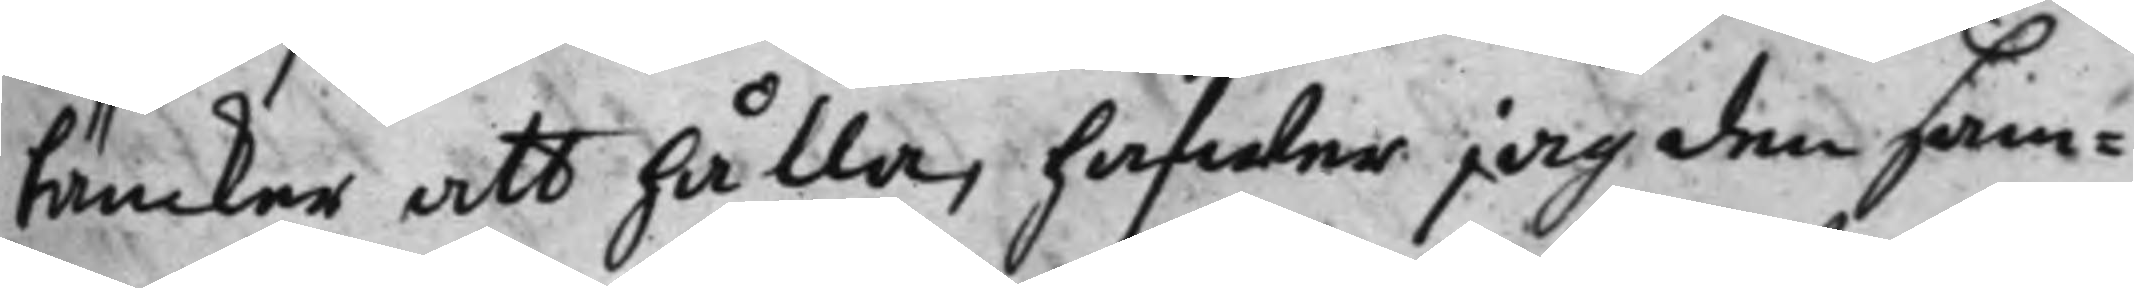täncker att hålla, hafwer jag den sam¬
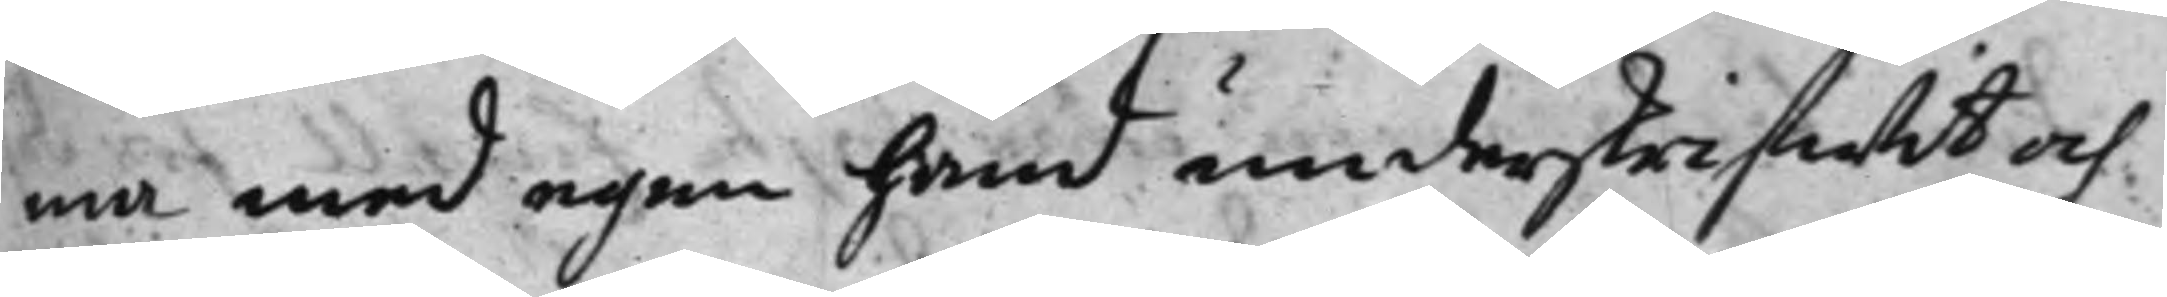ma med egen hand underskrifwit och
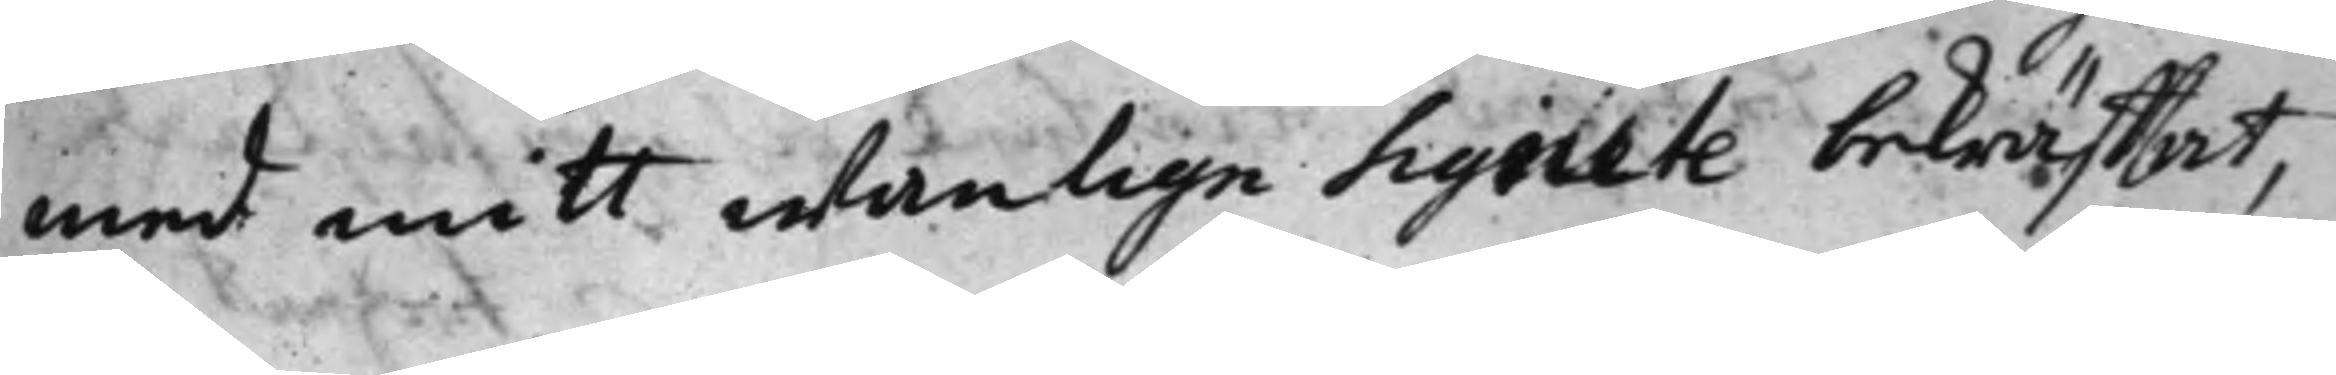med mitt wanlige sigillte bekräfftat
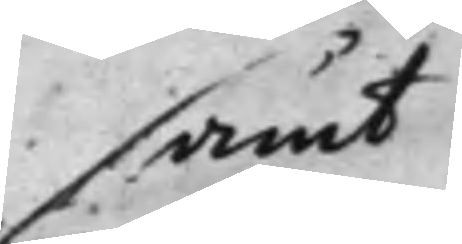samt
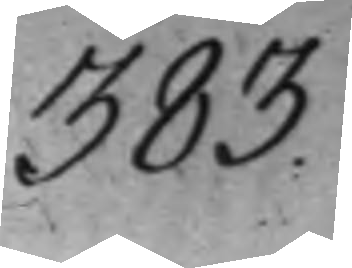383.
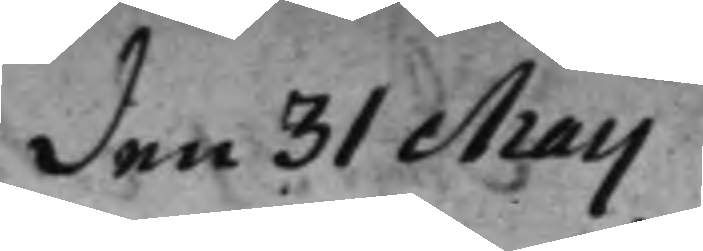den 31 Maij
